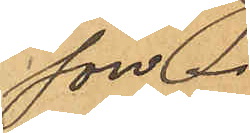son.
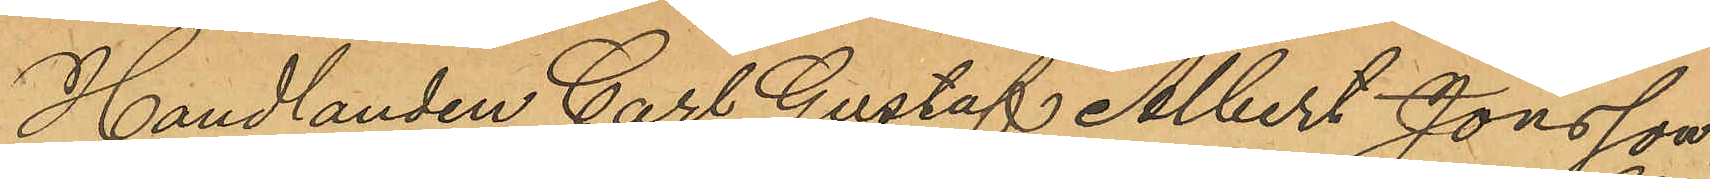Handlanden Carl Gustaf Albert Jonsson
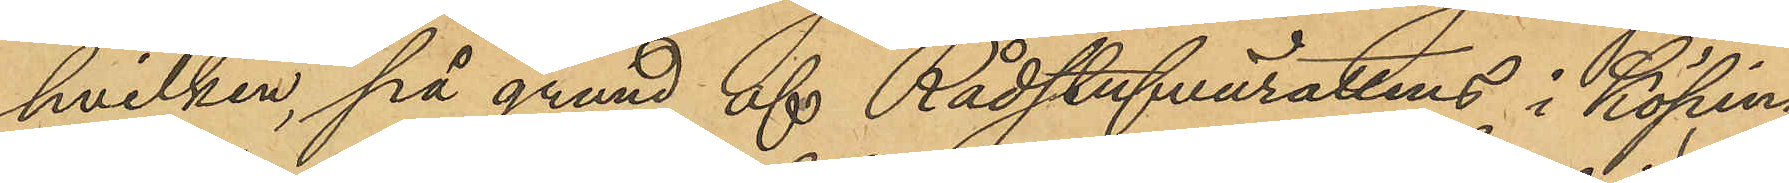hvilken, på grund af Rådstufvurättens i Köping
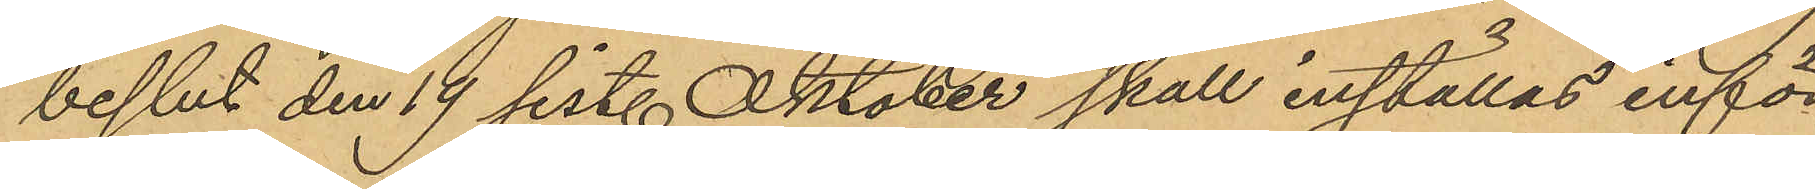beslut den 19 sist. Oktober skall inställas inför
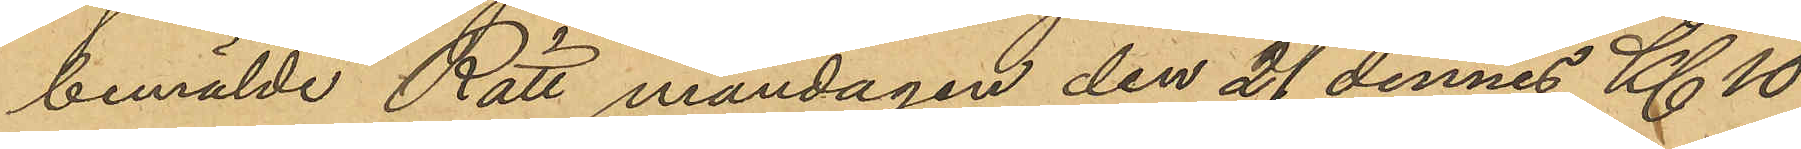bemälde Rätt måndagen den 21 dennes Kl. 10
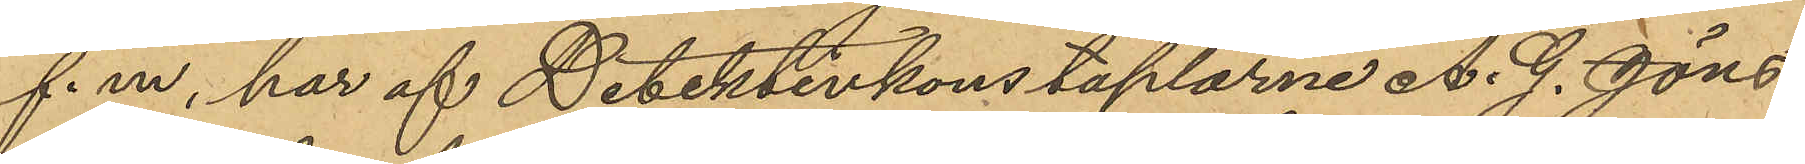f. m, har af Detektivkonstaplarne A. G. Jöns¬
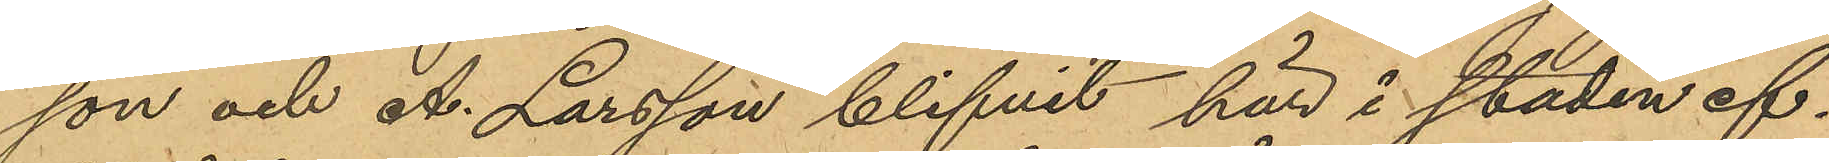son och A. Larsson blifvit här i staden ef¬
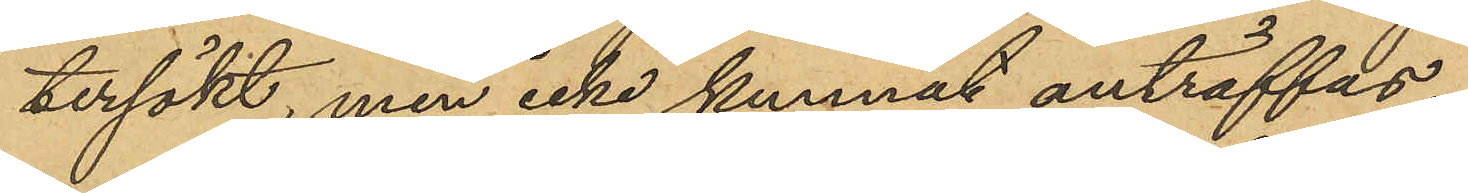tersökt, men icke kunnat anträffas.
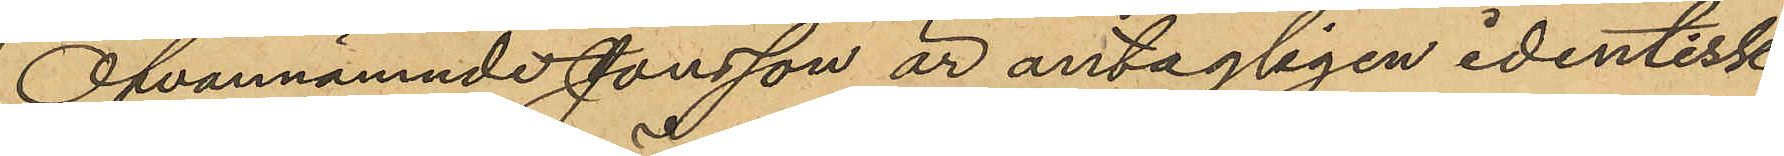Ofvannämnde Jonsson är antagligen identisk
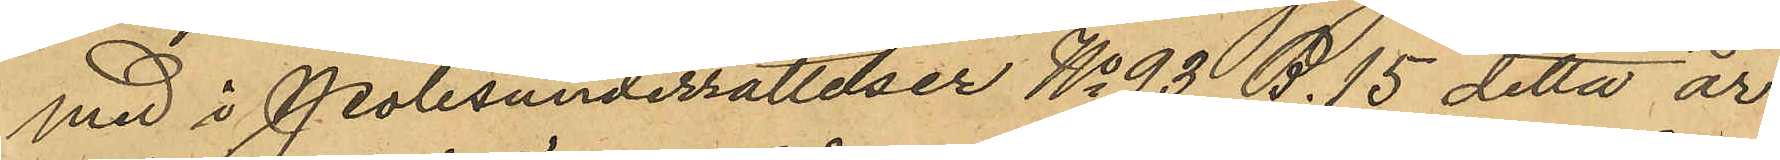med å Polisunderrättelser No 93 B. 15 detta år
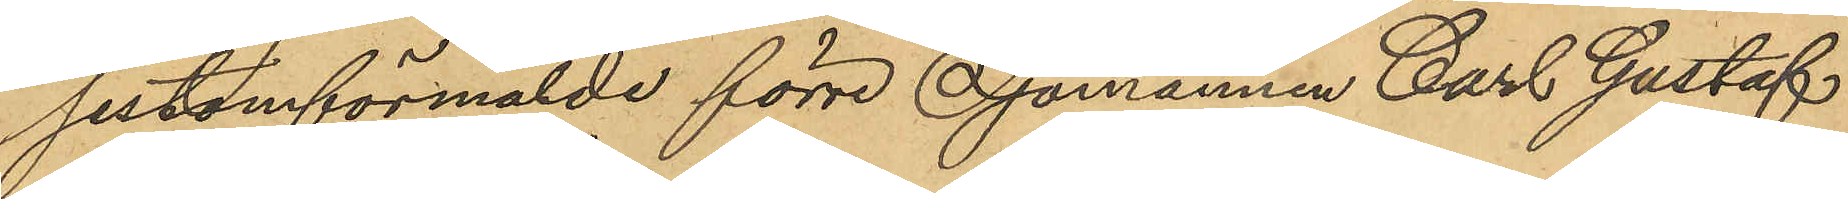sistomförmälde förre Sjömannen Carl Gustaf
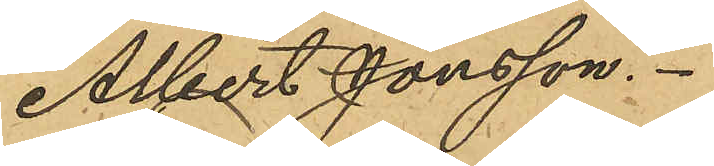Albert Jonsson.
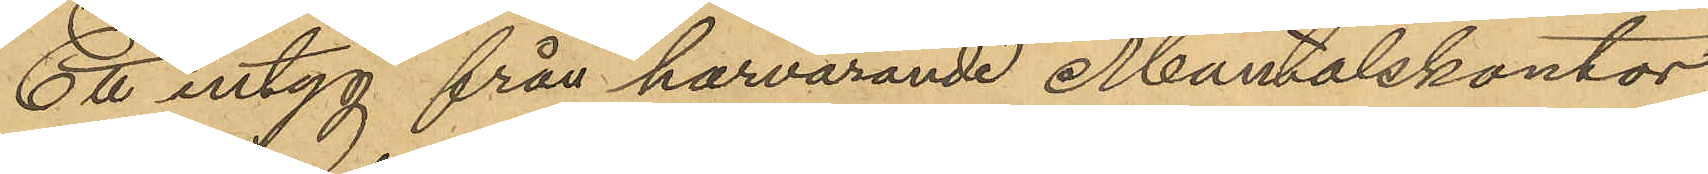Ett intyg från härvarande Mantalskontor,
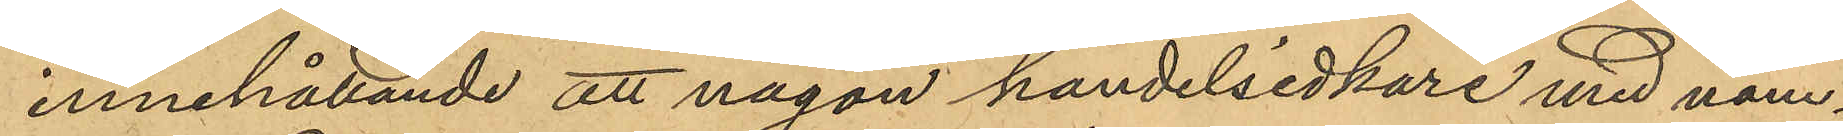innehållande att någon handelsidkare med nam¬
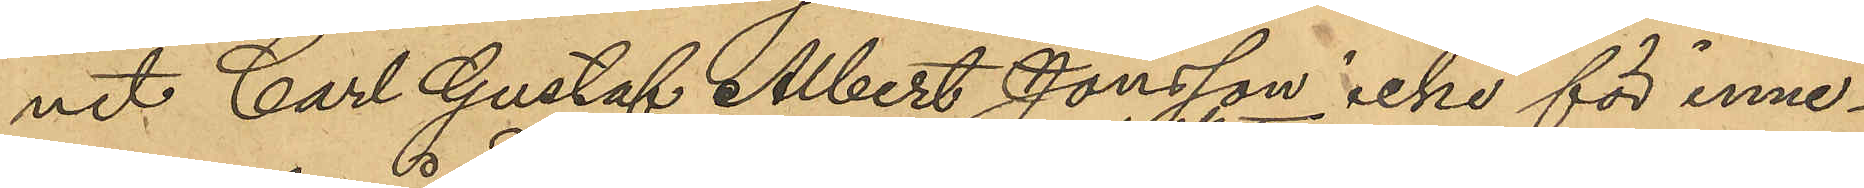net Carl Gustaf Albert Jonsson icke för inne¬
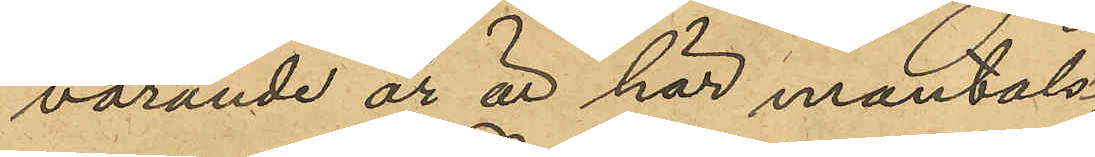varande år är här mantals
